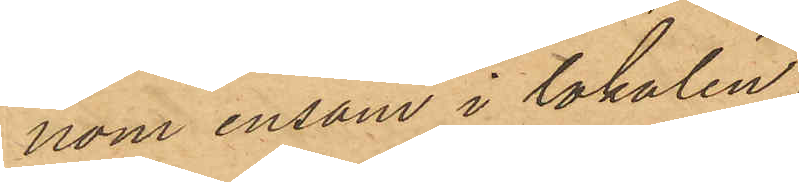nom ensam i lokalen,
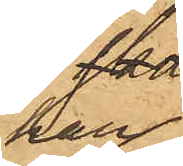han
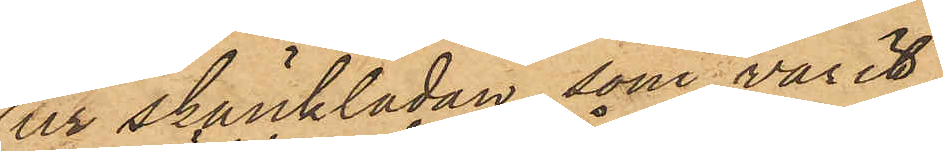ur skänklådan, som varit
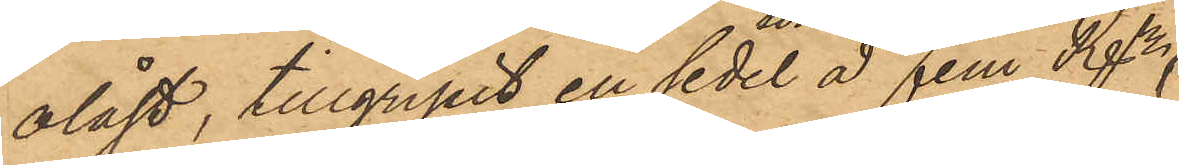olåst, tillgripit en sedel å  Fem Rdr,
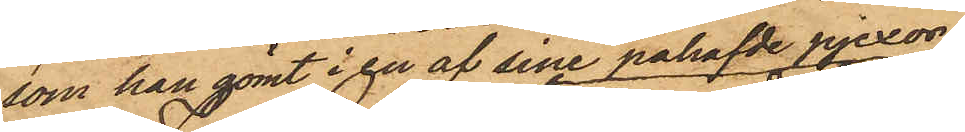som han gömt i en af sine påhafde pjexor
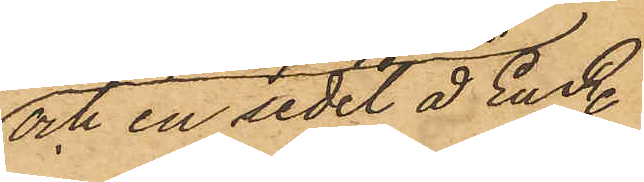och en sedel å En Rdr
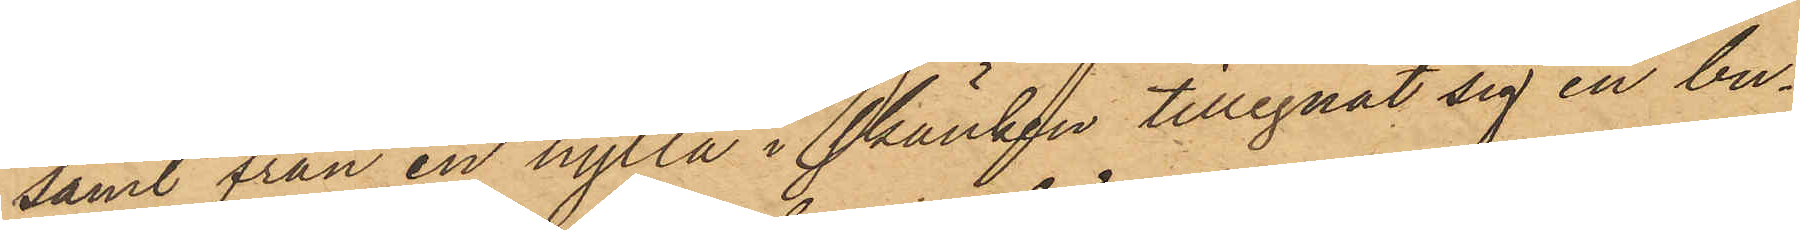samt från en hylla i skänken tillegnat sig en bu¬
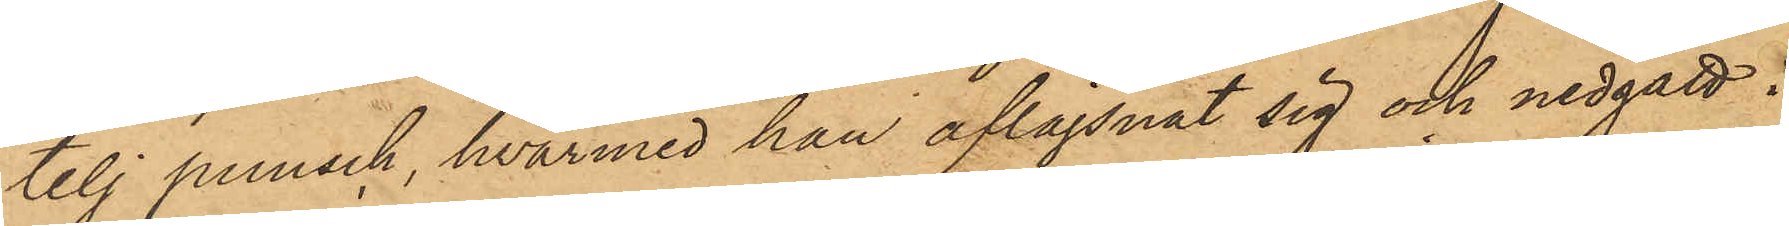telj punsch, hvarmed han aflägsnat sig och nedgått i
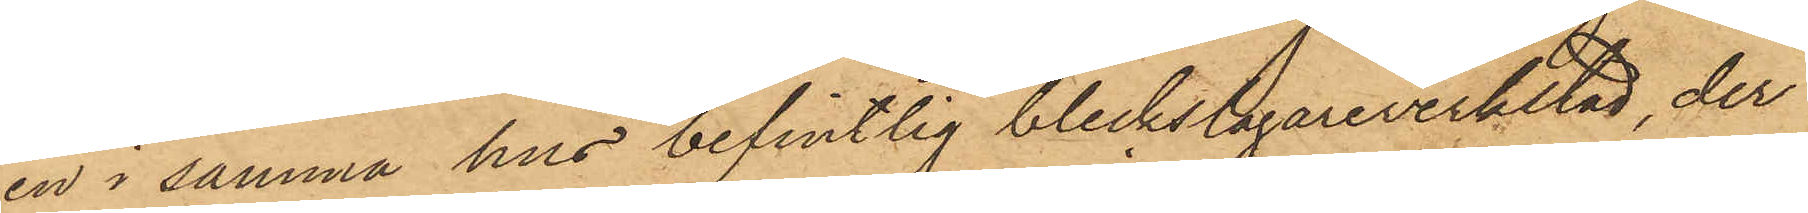en i samma hus befintlig bleckslagareverkstad, der
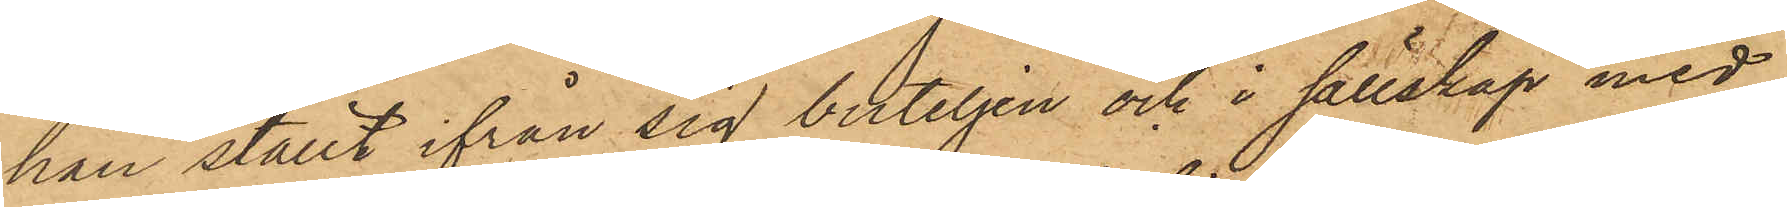han ställt ifrån sig buteljen och i sällskap med
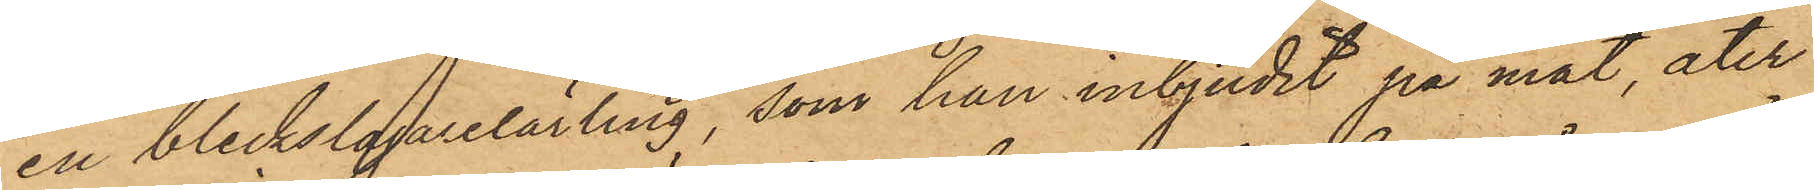en bleckslagarelärling, som han inbjudit på mat, åter
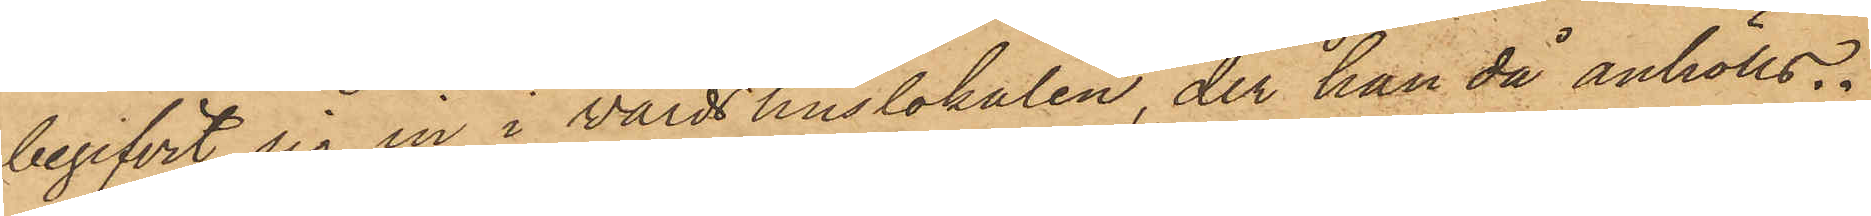begifvit sig in i wärdshuslokalen, der han då anhölls.
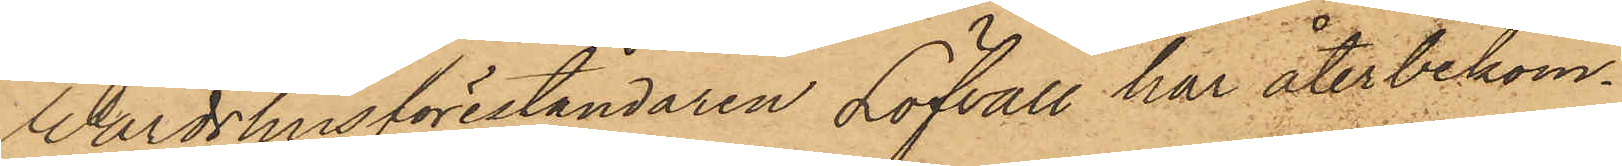Wärdshusföreståndaren Löfvall har återbekom¬
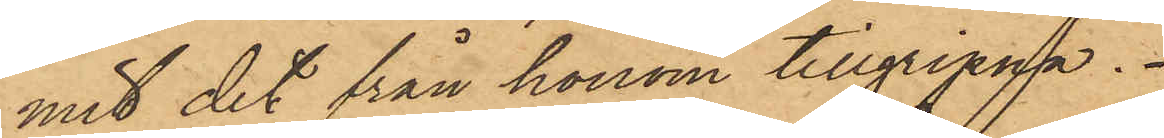mit det från honom tillgripna.
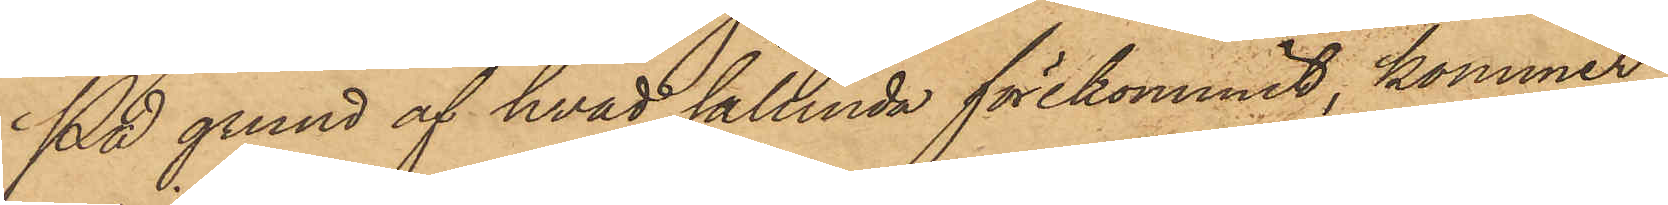På grund af hvad sålunda förekommit, kommer
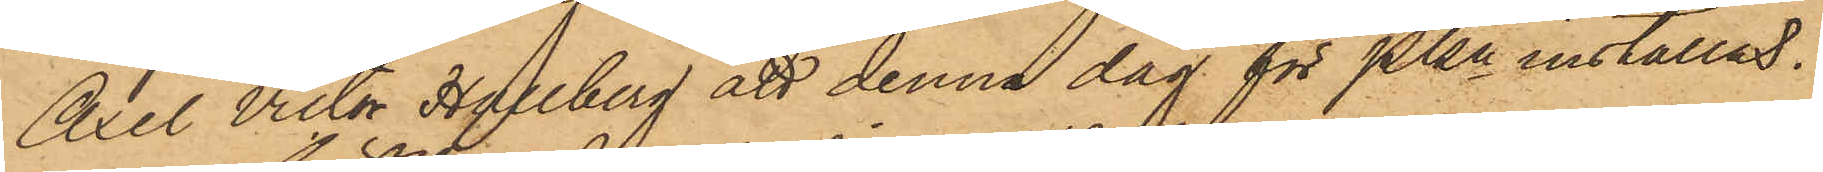Axel Victor Hallberg att denna dag för Pkn inställas.
